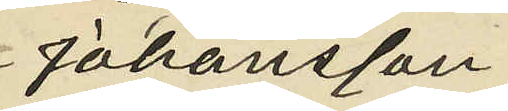Johansson
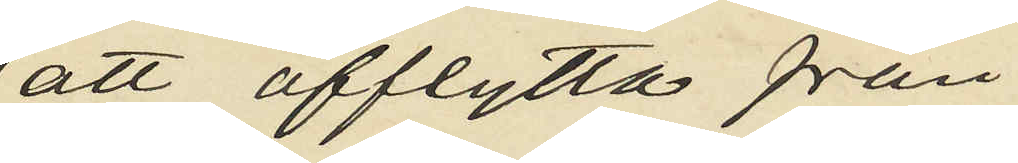att afflytta från
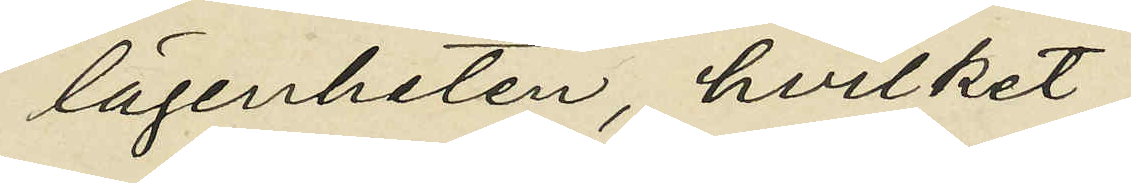lägenheten, hvilket
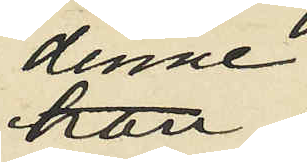denne
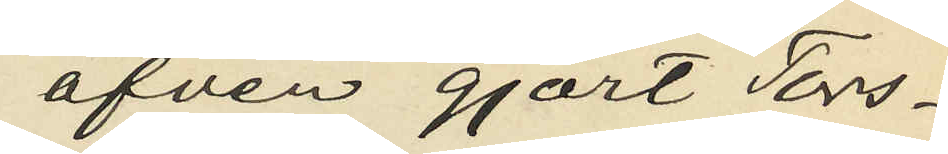äfven gjort Tors¬
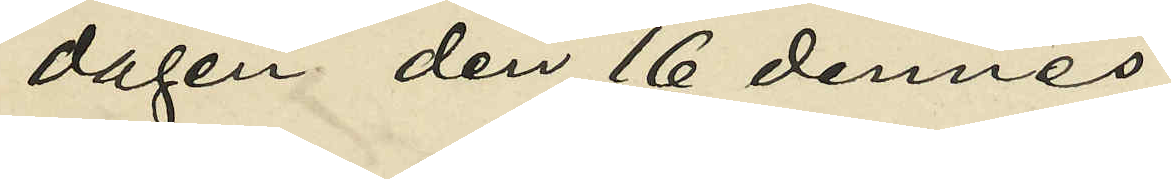dagen den 16 dennes;
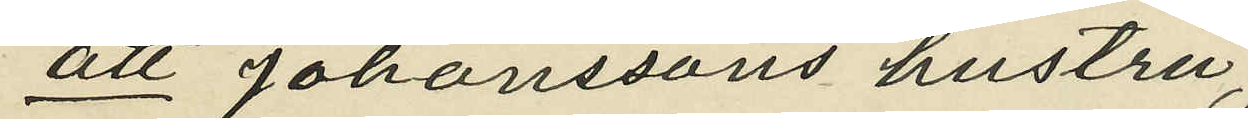att Johanssons hustru,
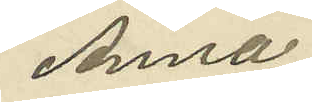Anna
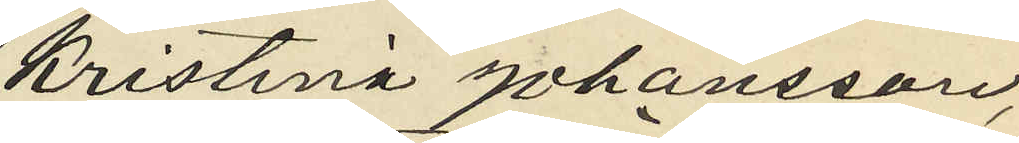Kristina Johansson,
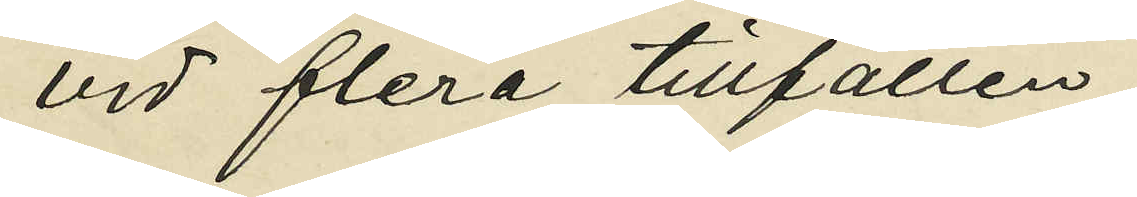vid flera tillfällen
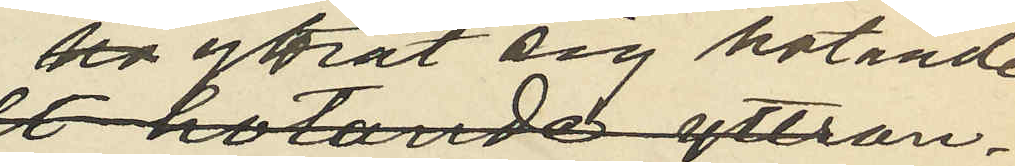yttrat sig hotande
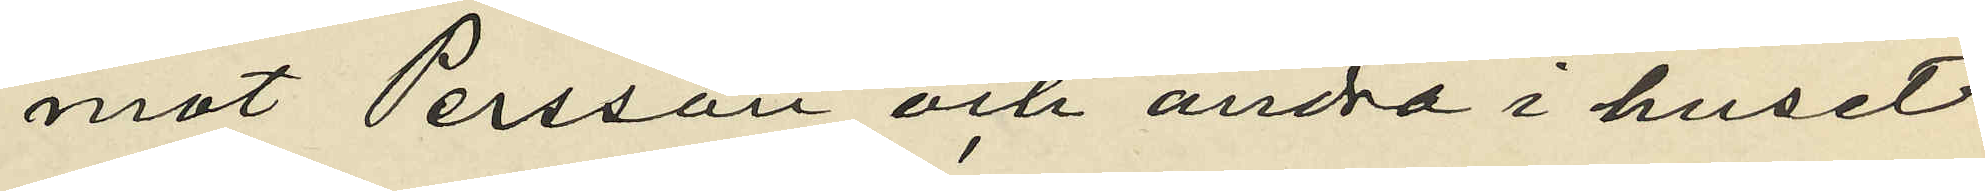mot Persson och andra i huset
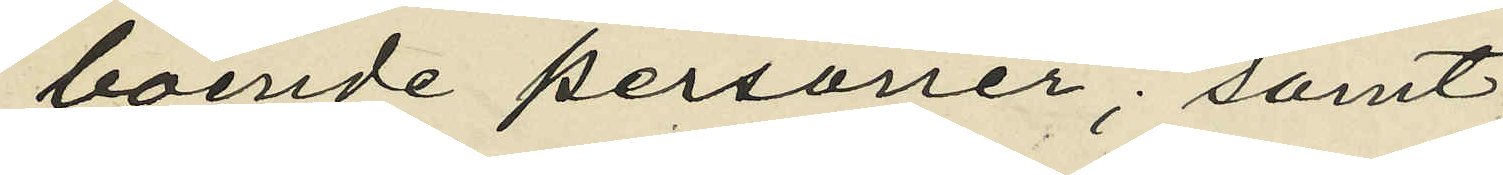boende personer; samt
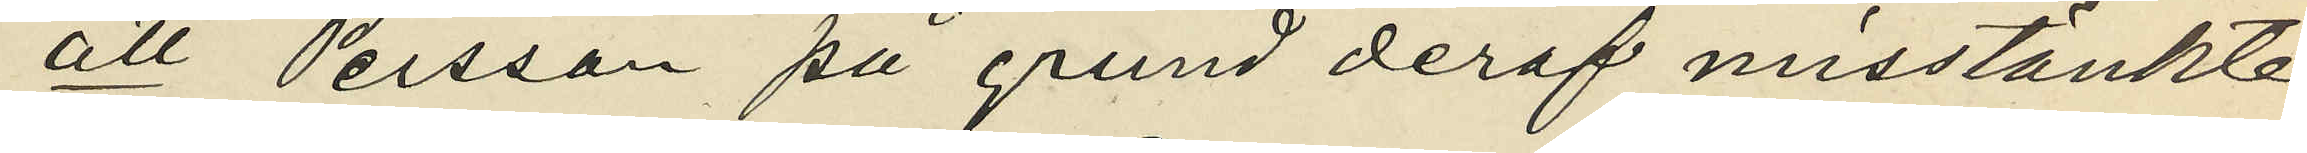att Persson på grund deraf misstänkte
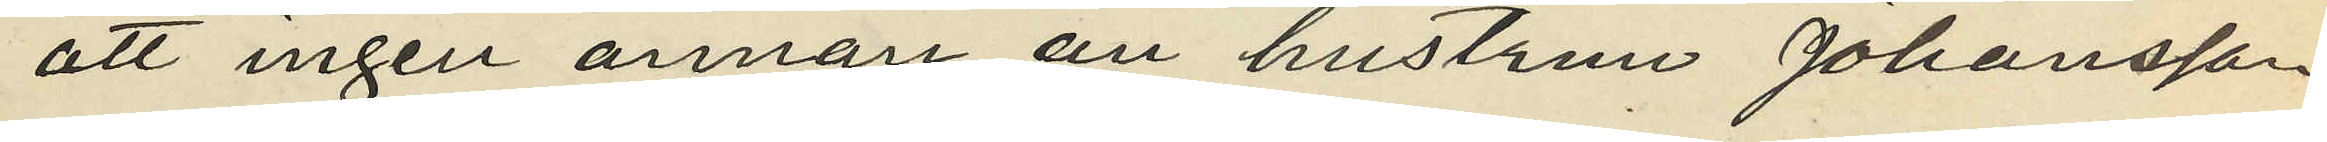att ingen annan än hustrun Johansson
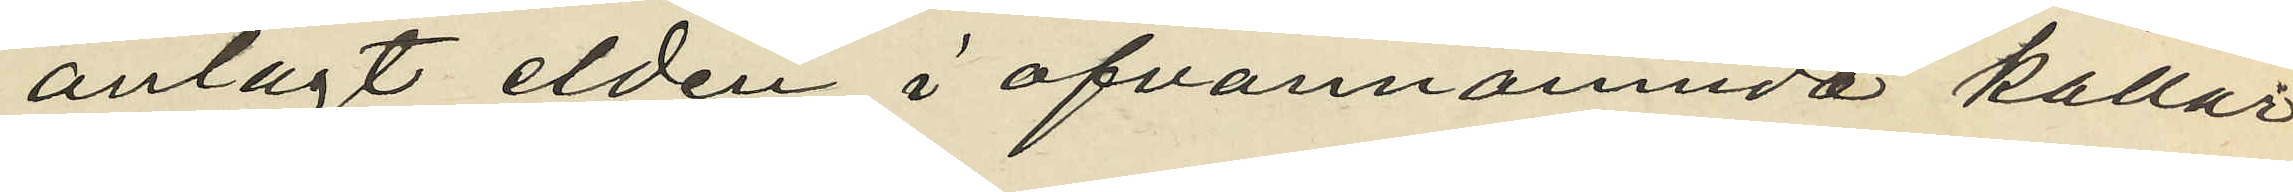anlagt elden i ofvannämnde kallas
